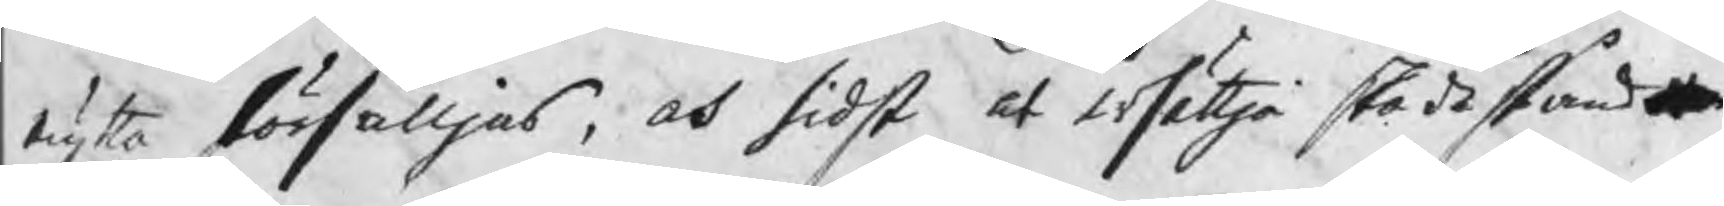nytta försälljas, och sidst at ersättja skadestånd
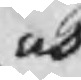och
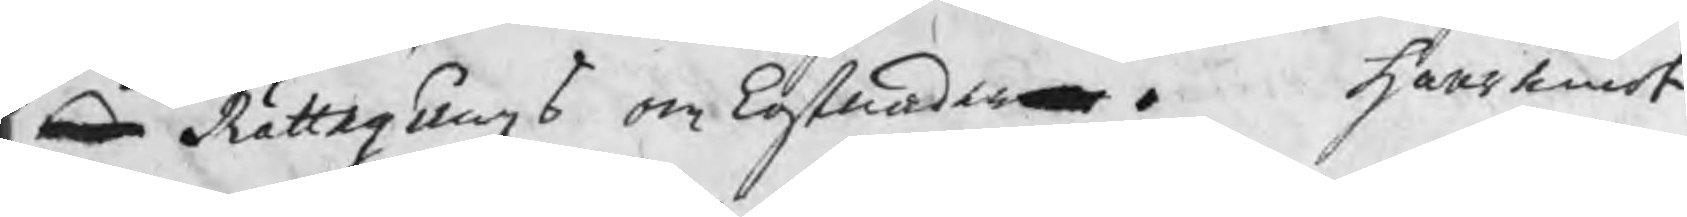Rättegångs omkostnader.  Haremot
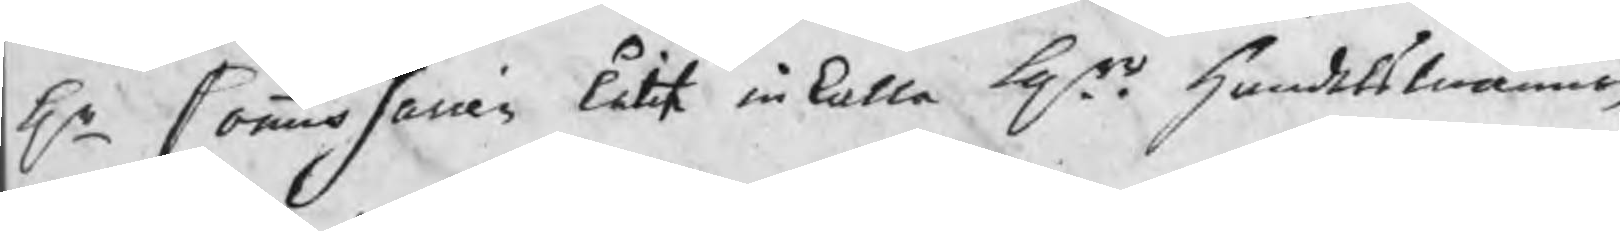Hr Commissarien låtit inkalla Hrr handelsmännen
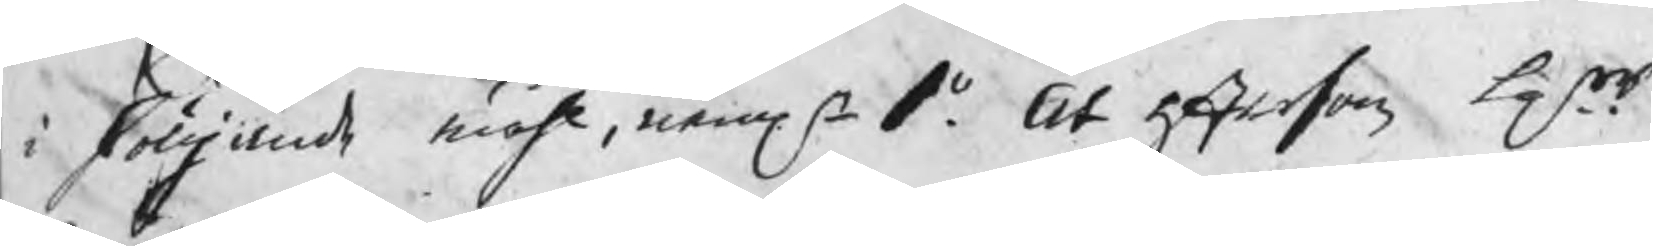i fölljande måhl, nemln 1o. At eftersom Hrr
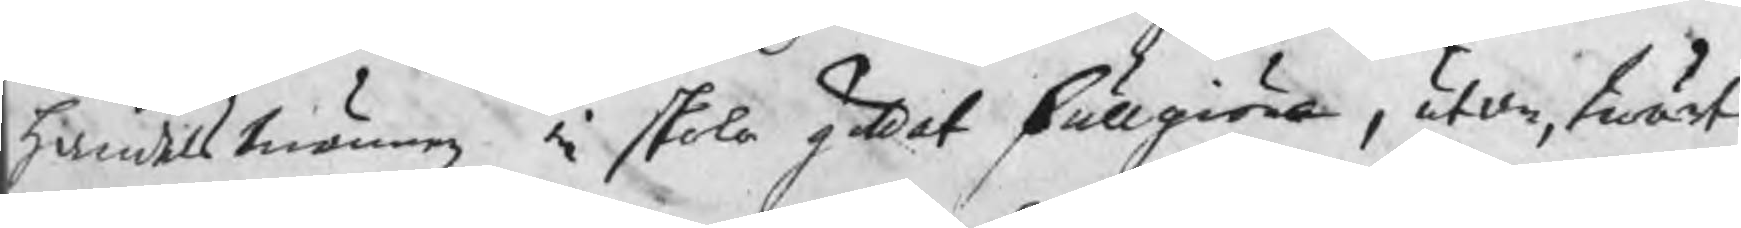handelsmännen ei skola gildat fullgiöra, utan, twärt
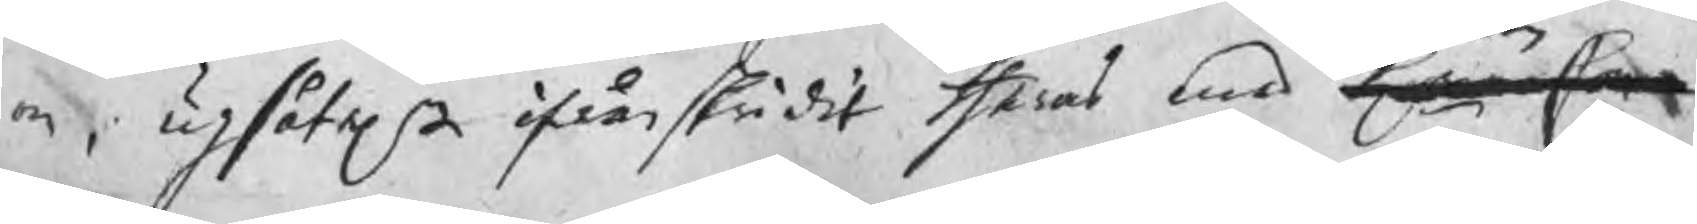om, upsåteln ifrånskridit theras med Hr Com¬
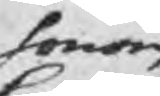honom
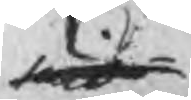mis¬
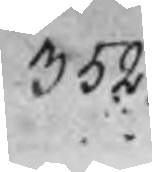352.
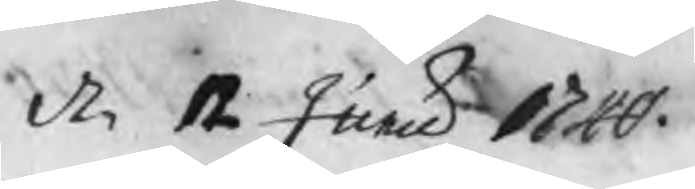d. 12 Junii 1740.
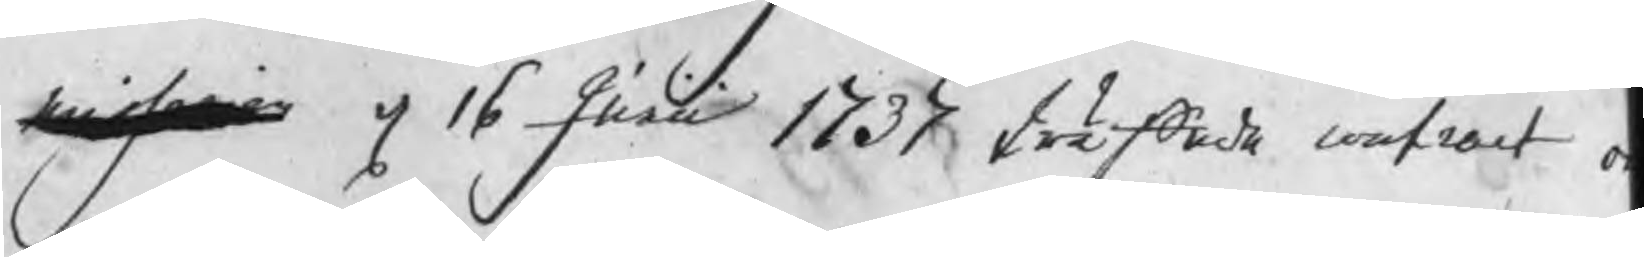missarien d 16 Junii 1737 träffade contract o
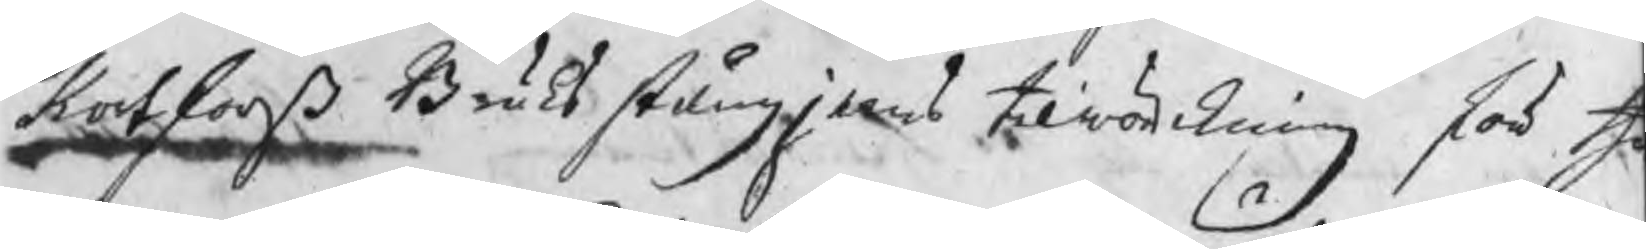Kortforß Bruks stångjerns tilräckning för th
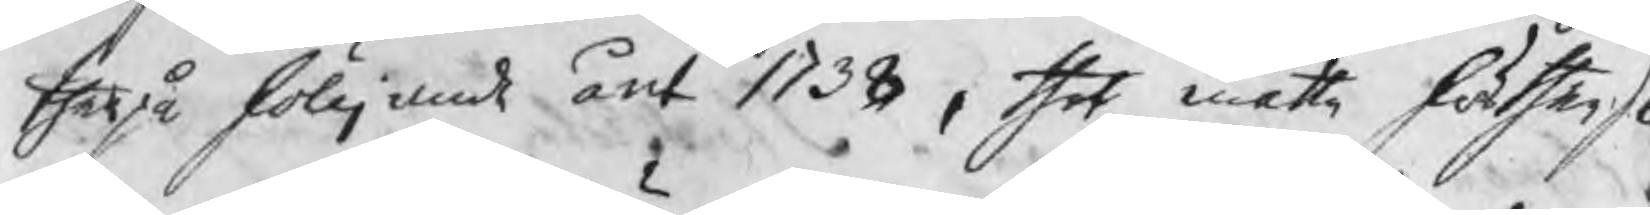therpå fölljande året 1738, thet måtte för
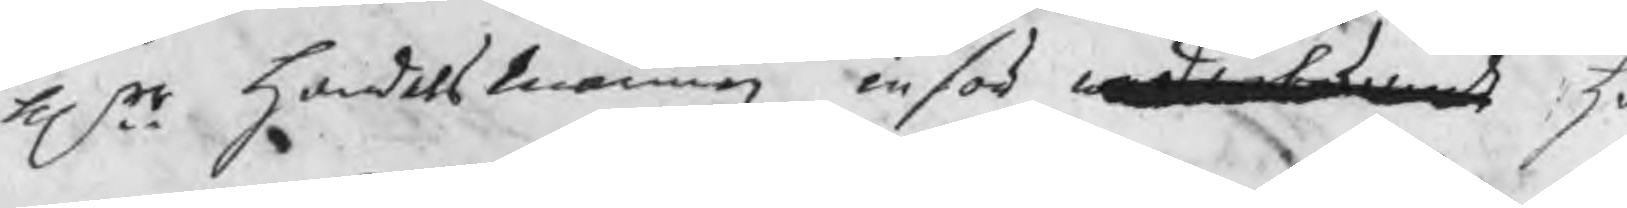Hrr handelsmännen inför wederbörande h
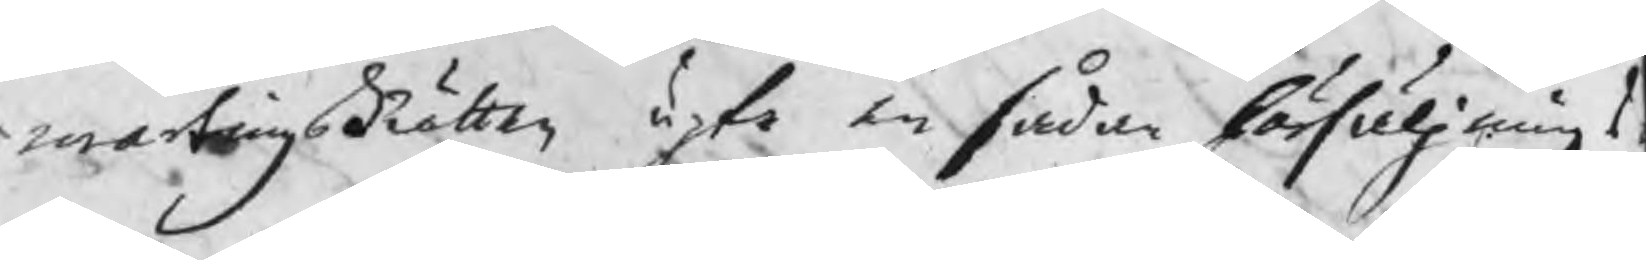martingsRätten upte en sådan försäljnings 
